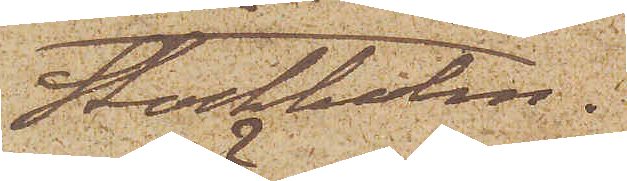Stockholm.
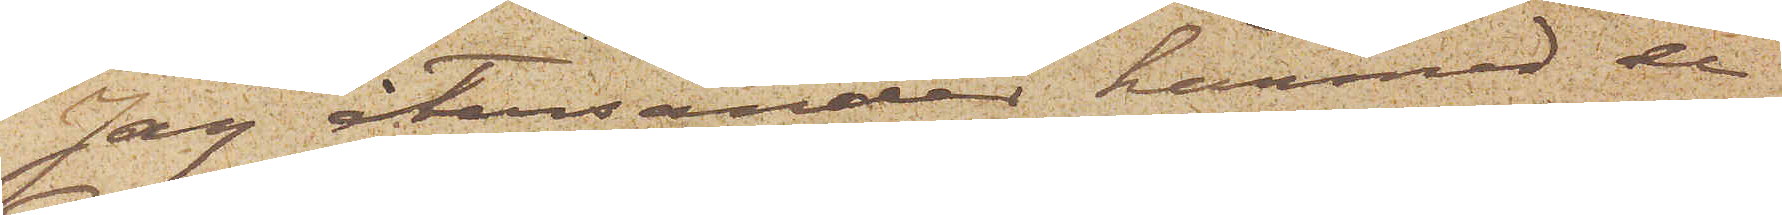Jag återsänder härmed de
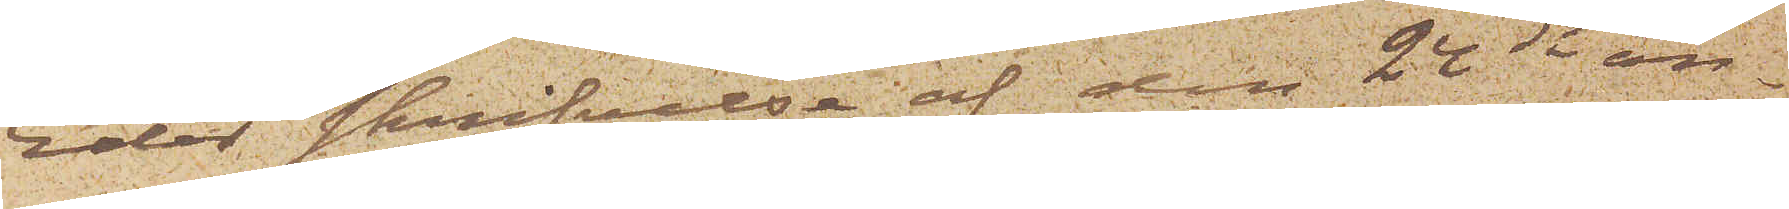Eder skrifvelse af den 24 ds an¬
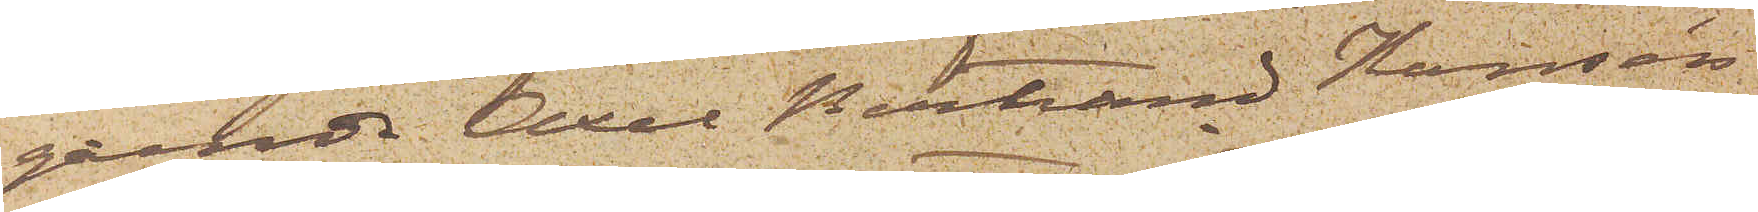gående Axel Bertrand Hansén
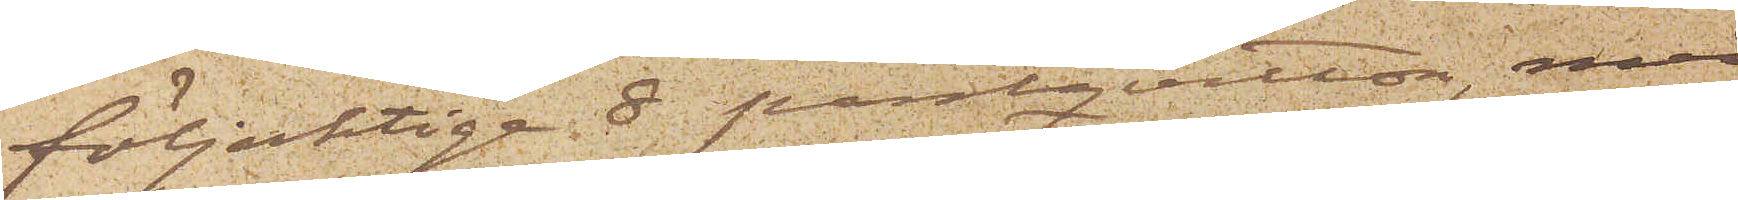följaktige 8 pantqvitton, med
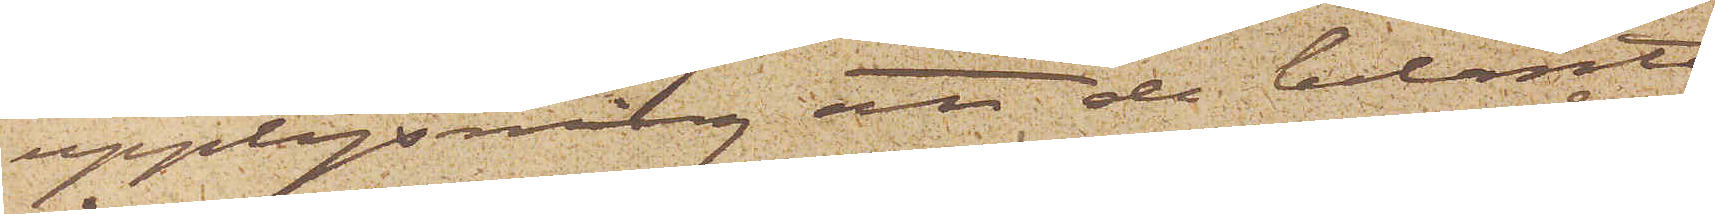upplysning att de belånta
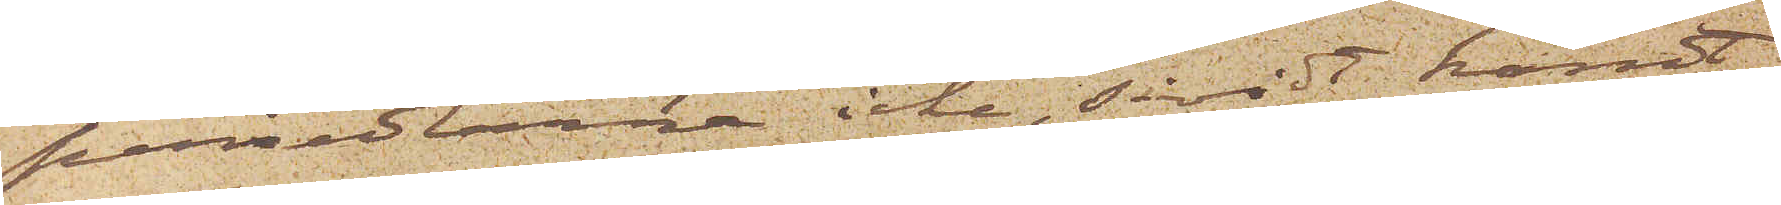persedlarne icke, såvidt känt
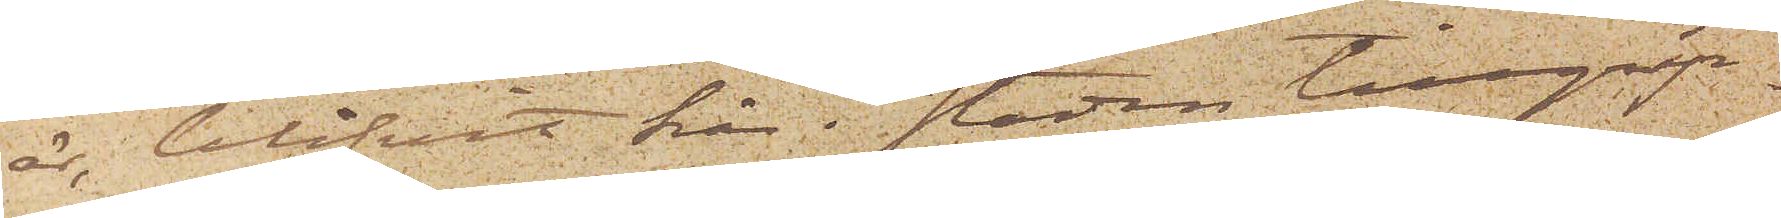är, blifvit här i staden tillgrip¬
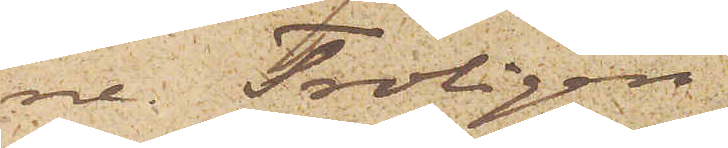ne. Troligen
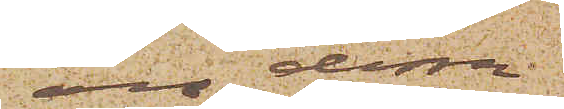äro dessa
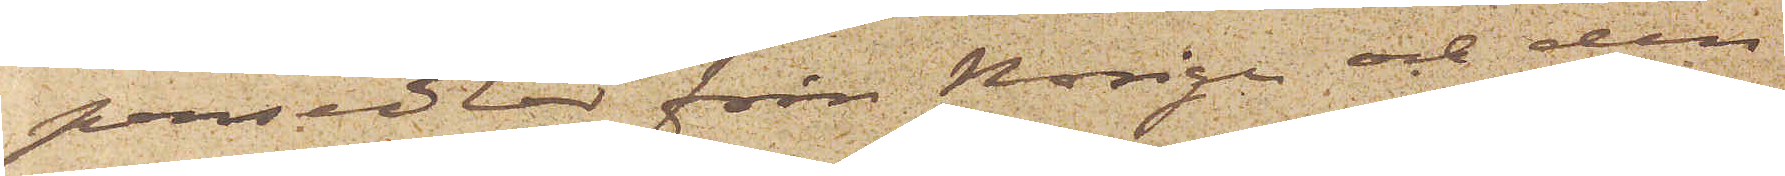persedlar från Norige och den
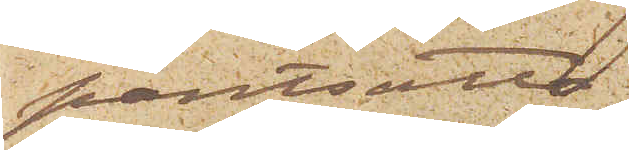pantsatta
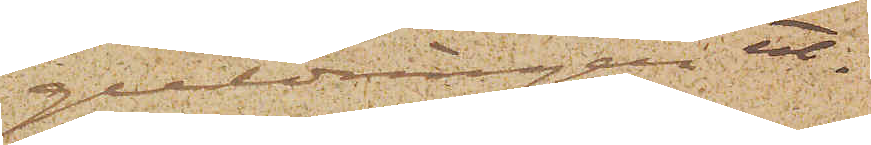guldringen ut¬
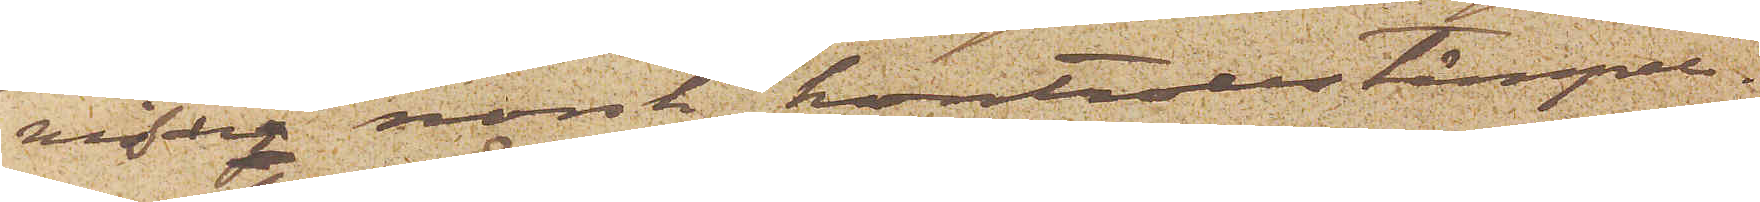visar norsk kontrollstämpel.
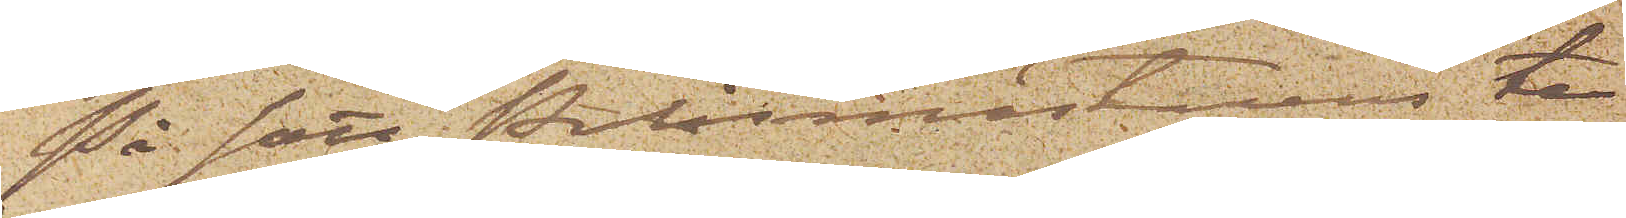På sätt Polismästarens te¬
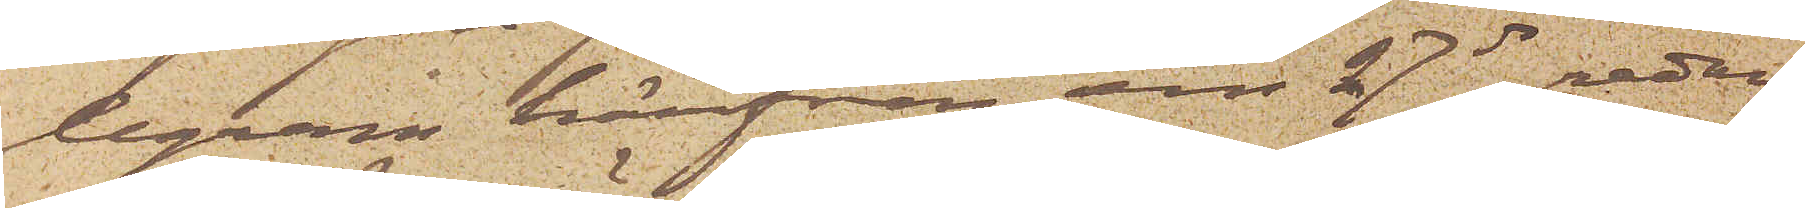legram härifrån den 27 ds redan
